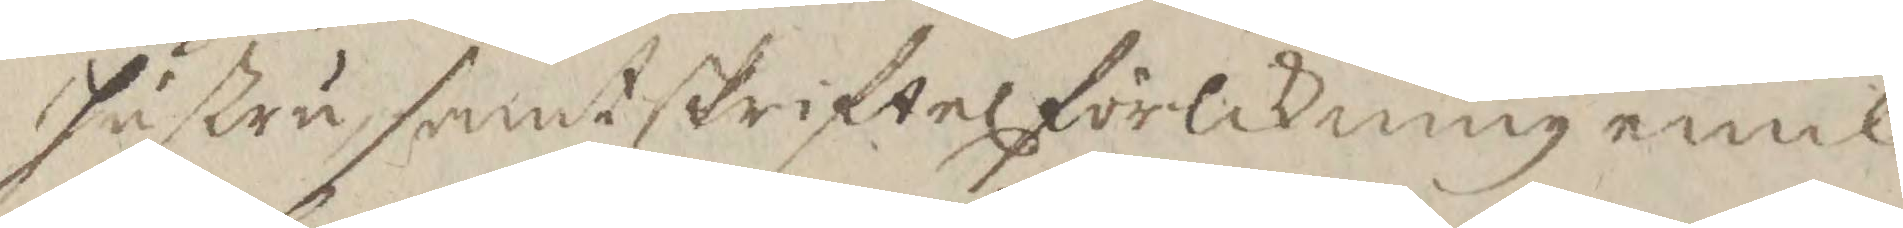hustru, samt skriftel förlikning emel¬
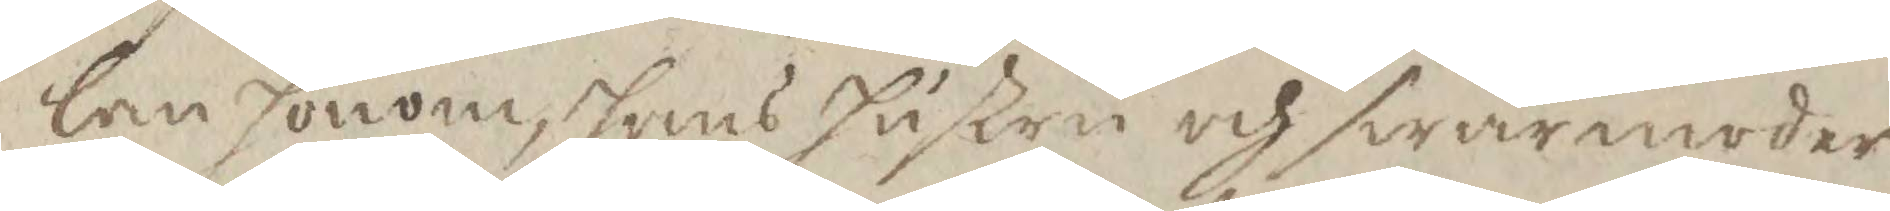lan honom, hans hustru och swärmoder
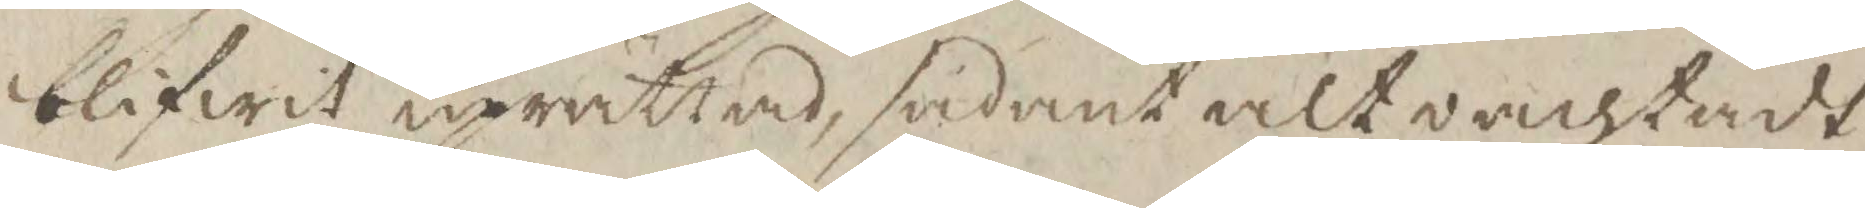blifwit upprättas, sådant alt oachtadt
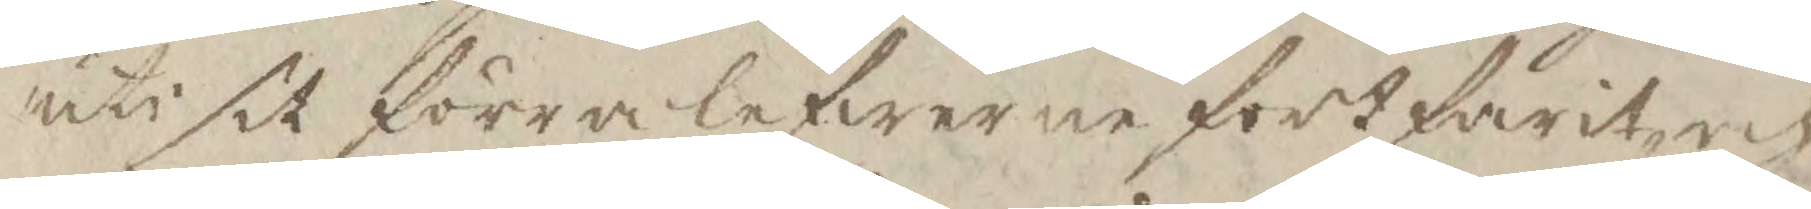uti sit förra lefwerne fortskridit och
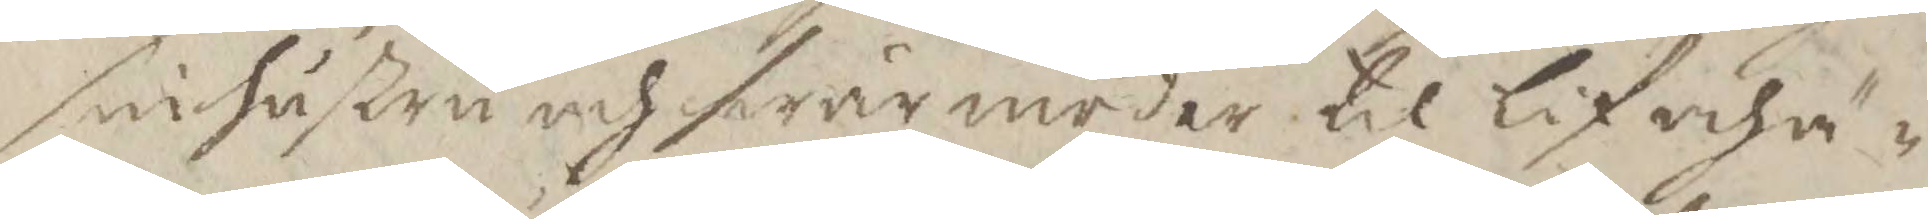sin hustru och swärmoder til lif och ä¬
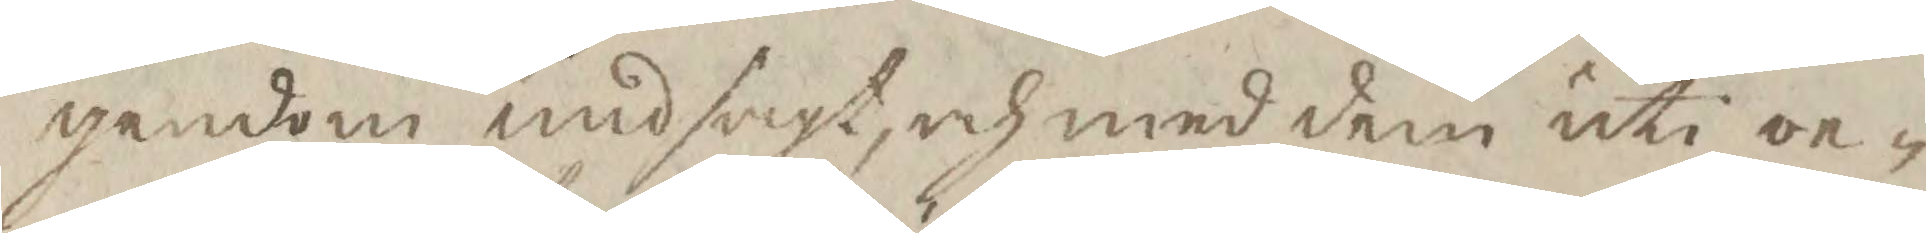gendom undsagt, och med dem uti oe¬
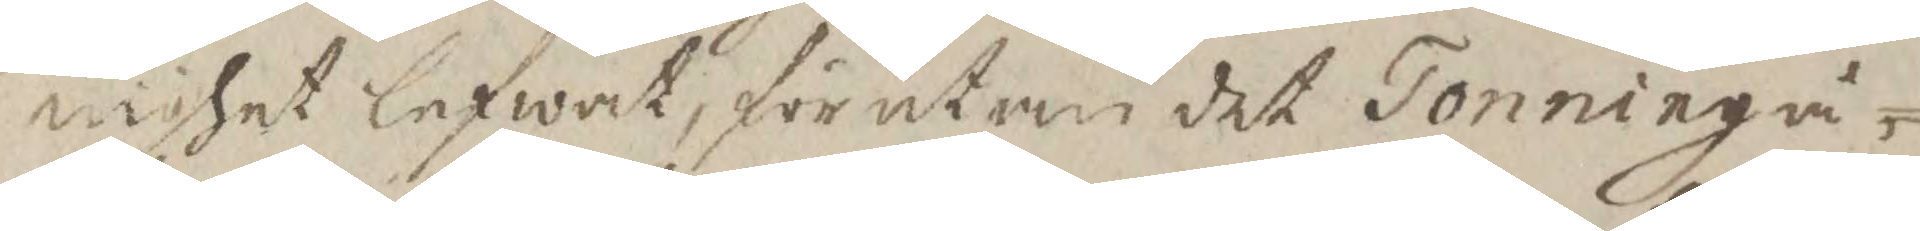nighet lefwat, för utan det Tonning å¬
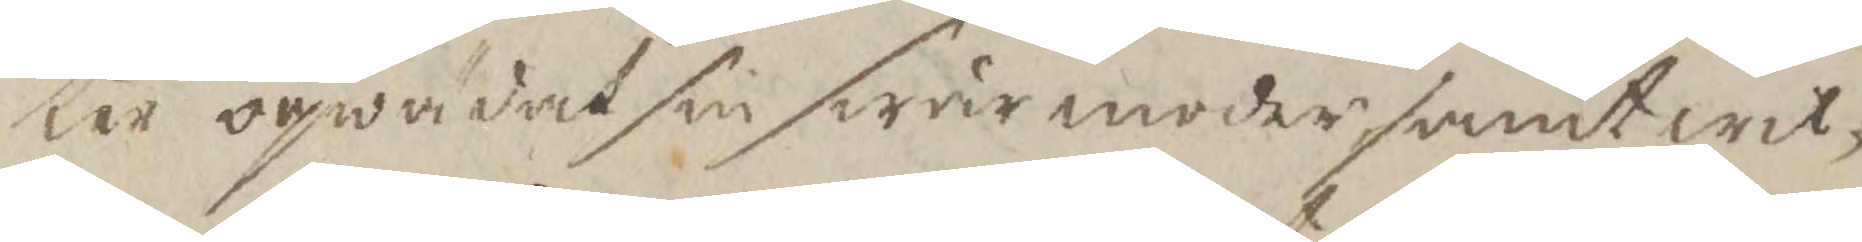ter oqwädat sin swärmoder samt wil¬
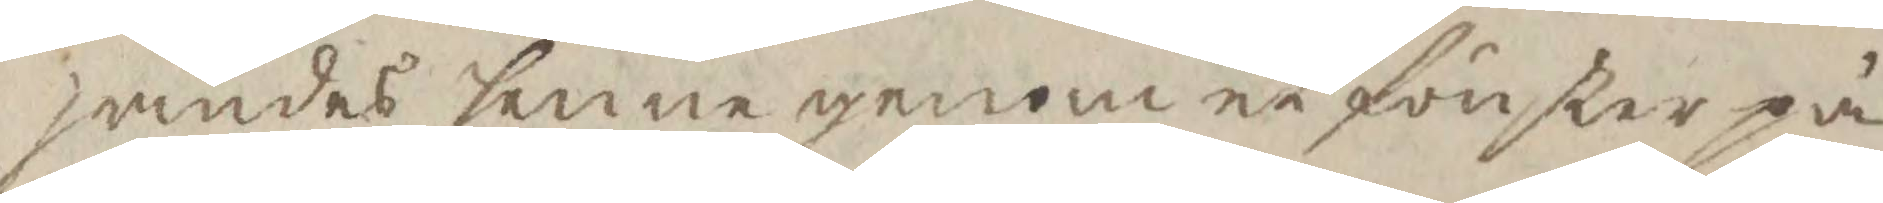jandes henne genom et fönster på
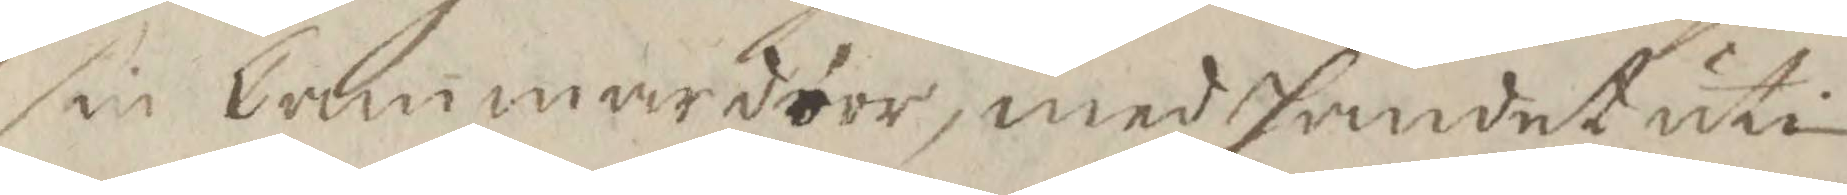sin Cammardörr, med handet uti
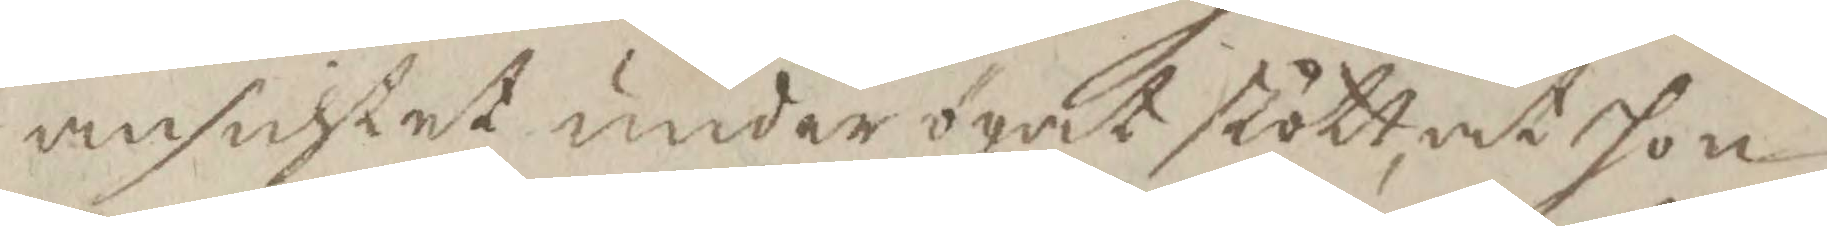ansichtet under ögat stött, at hon
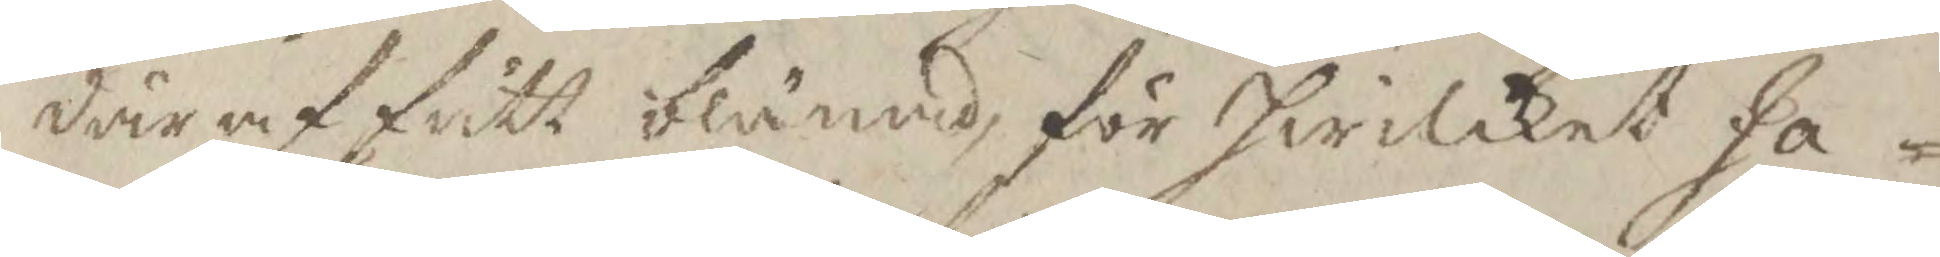där af fått blånad, för hwilket Ja¬
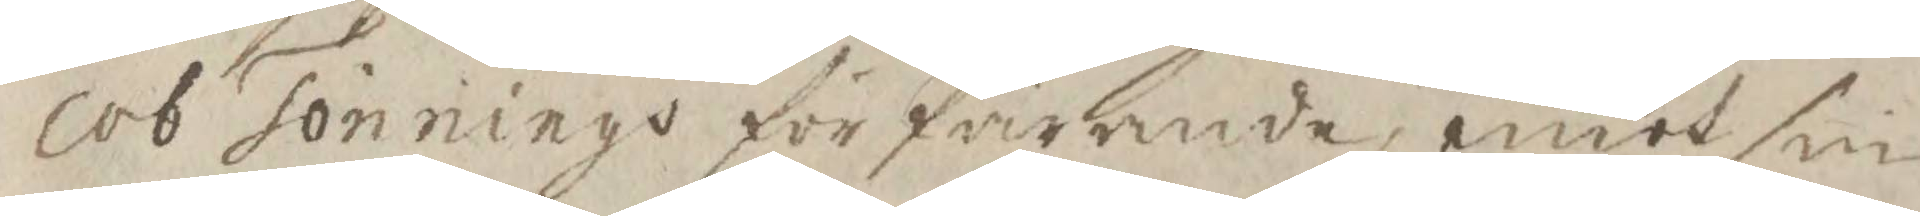cob Tönnings förfarande emot sin
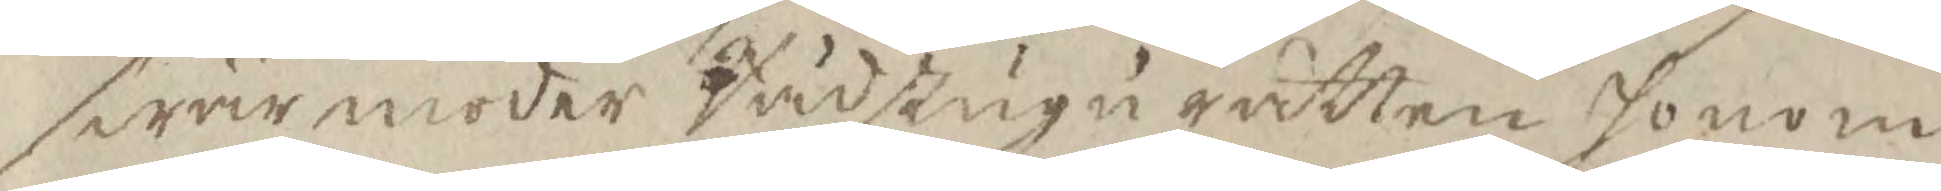swärmoder Rådstugu rätten honom
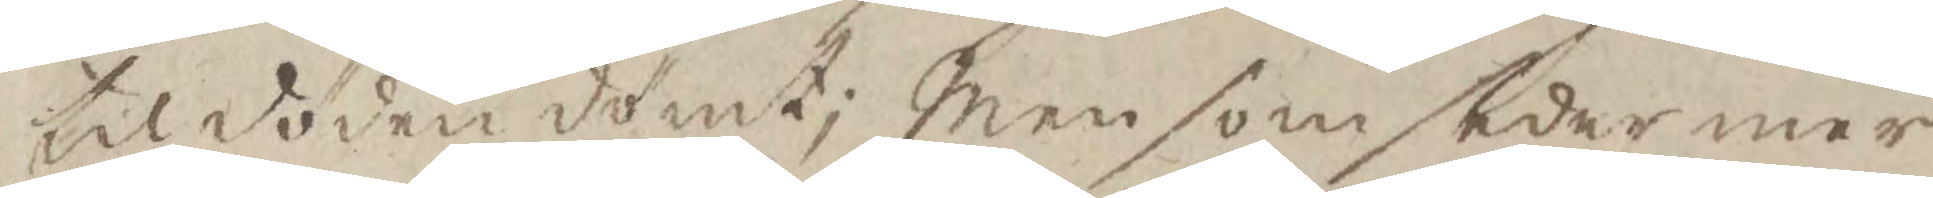til döden dömt; Men som sedermer
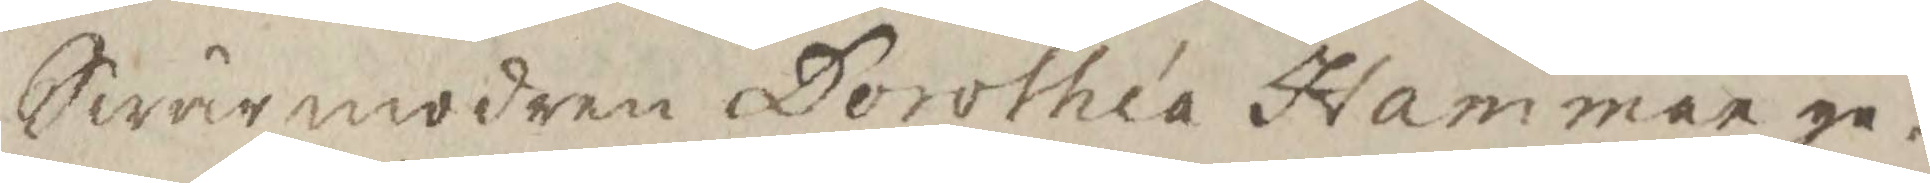Swärmodren Dorothea Hammar ge¬
